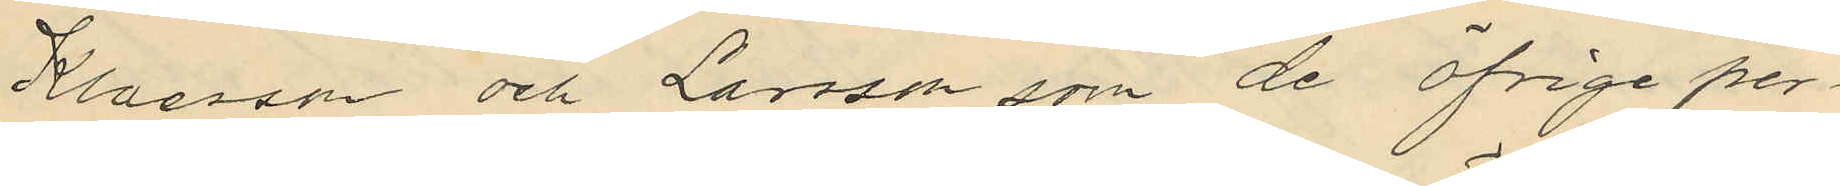Klaesson och Larsson som de öfrige per¬
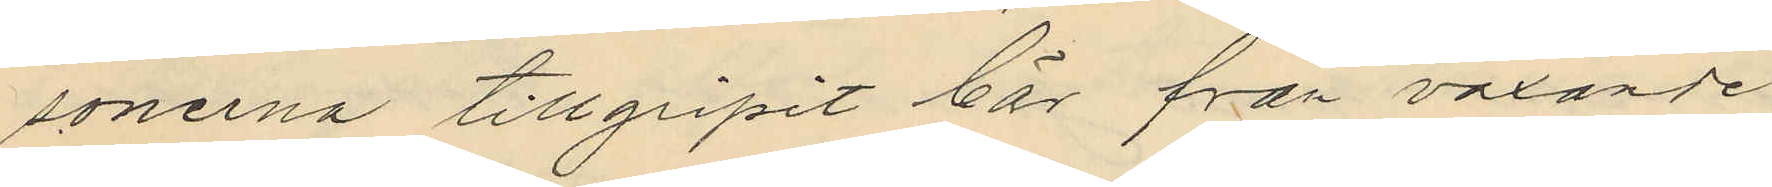sonerna tillgripit bär från växande
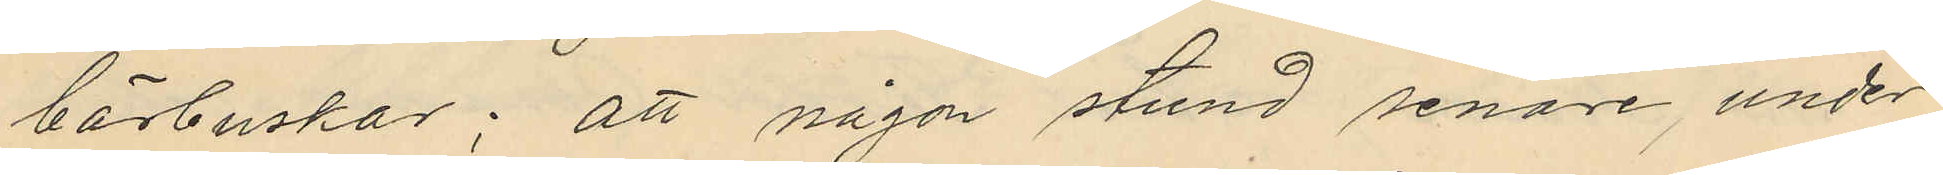bärbuskar; att någon stund senare, under
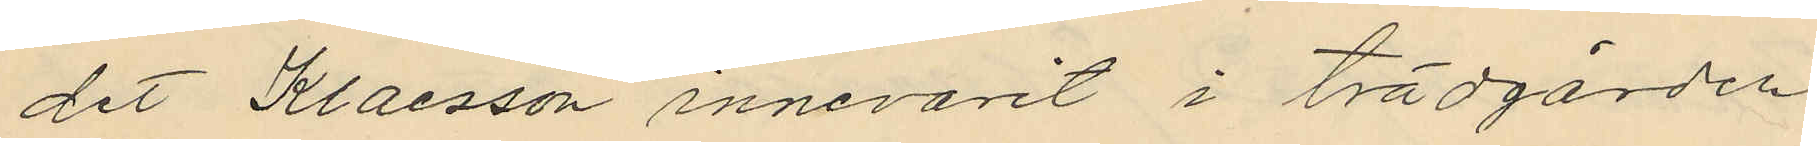det Klaesson innevarit i trädgården
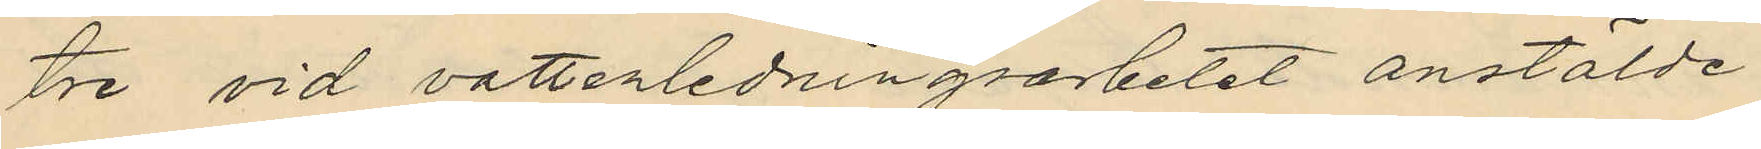tre vid vattenledningsarbetet anstälde
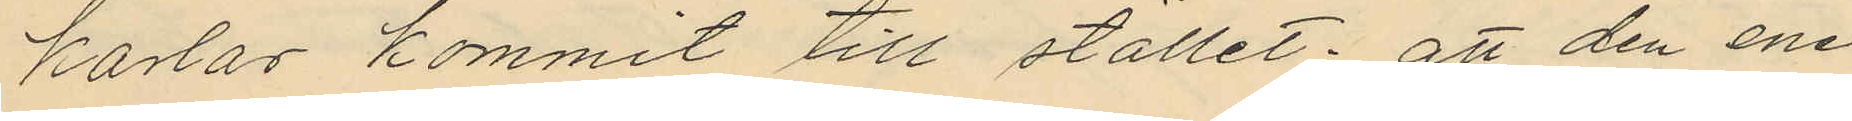karlar kommit till stället; att den ene
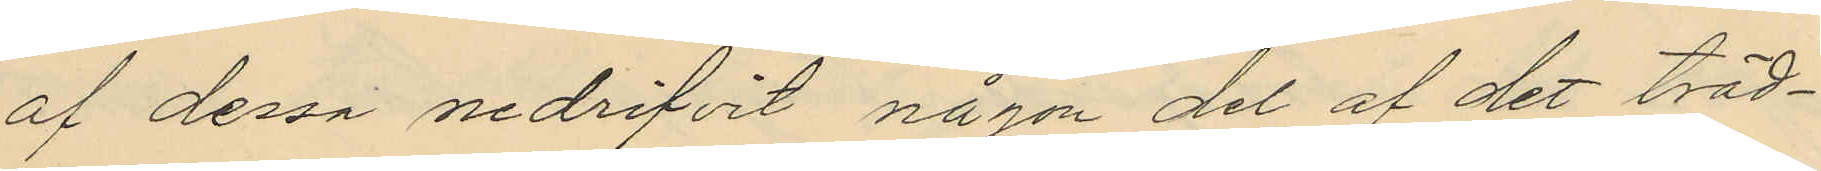af dessa nedrifvit någon del af det träd¬
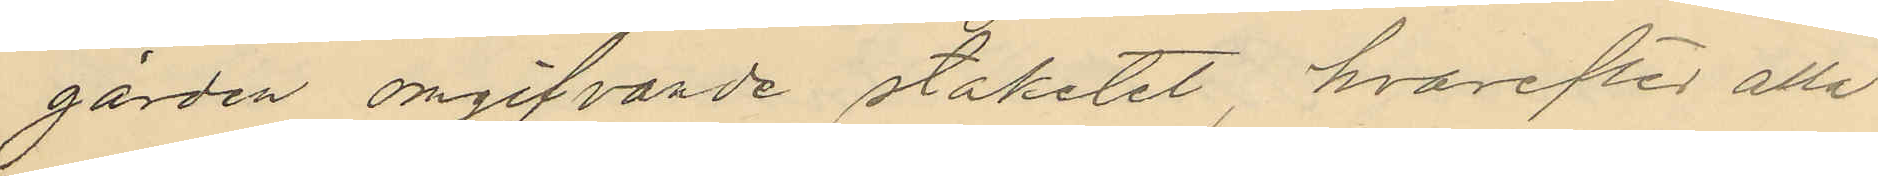gården omgifvande staketet, hvarefter alla
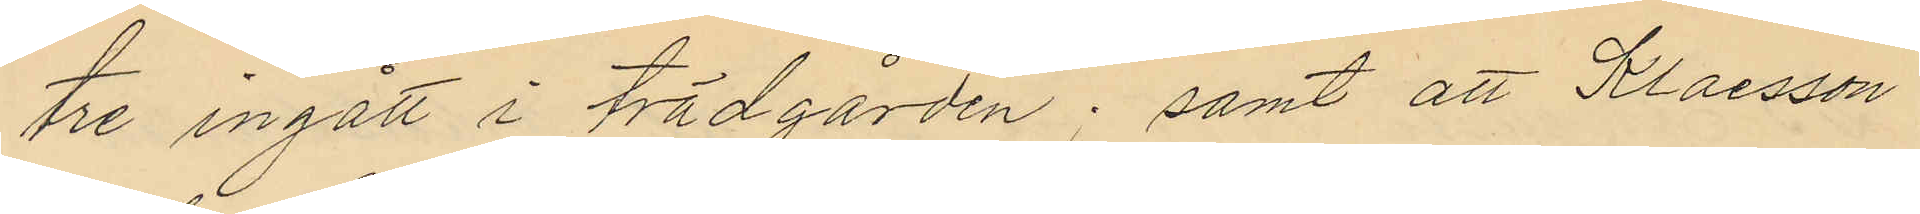tre ingått i trädgården; samt att Klaesson
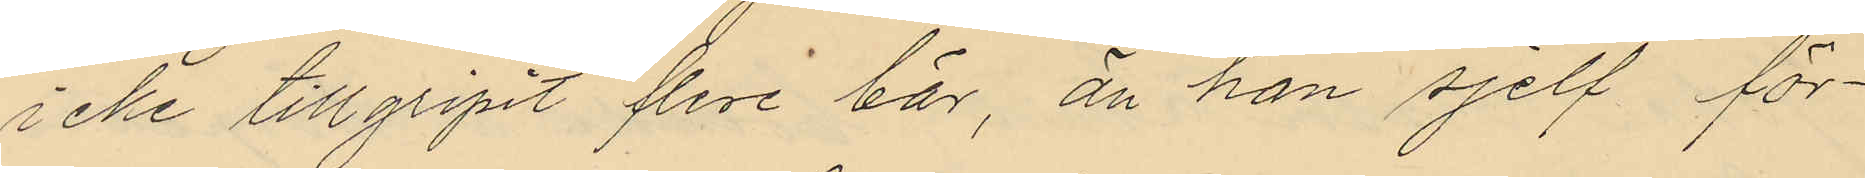icke tillgripit flere bär, än han sjelf för¬
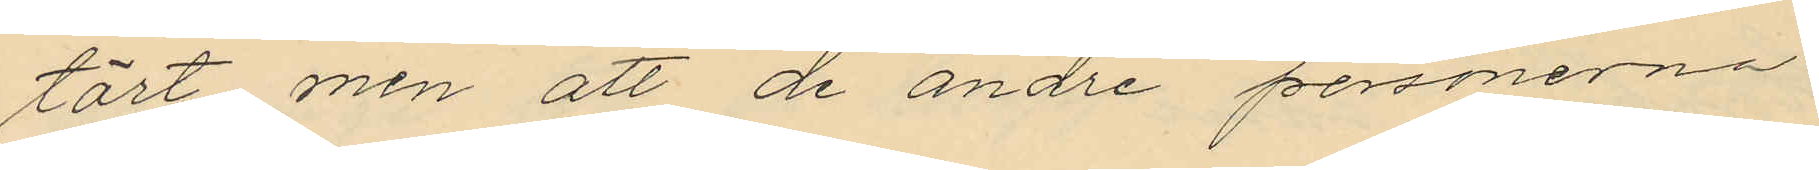tärt men att de andre personerna
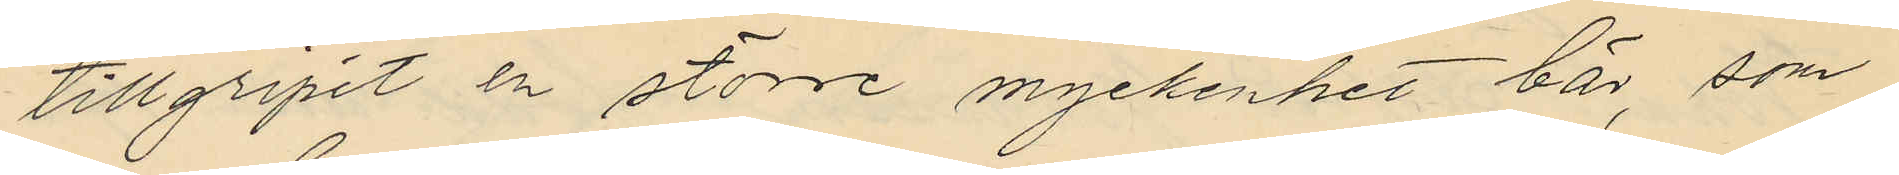tillgripit en större myckenhet bär, som
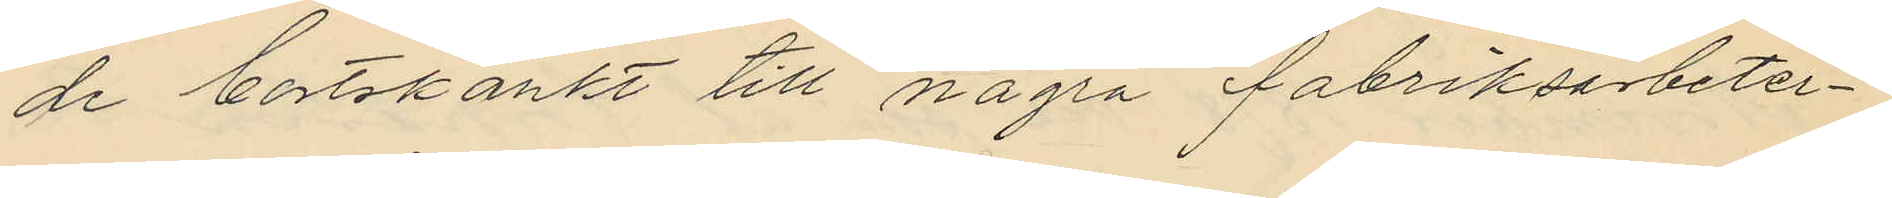de bortskänkt till några fabriksarbeter¬
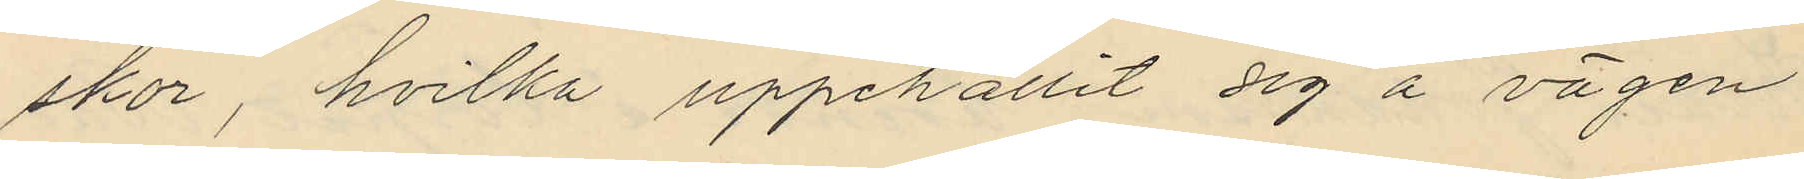skor, hvilka uppehållit sig å vägen
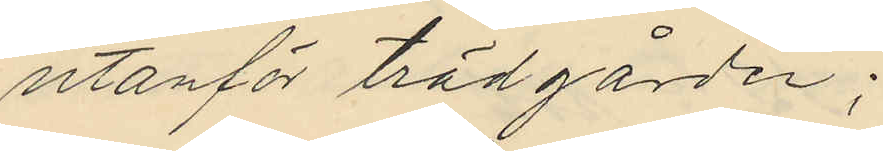utanför trädgården;
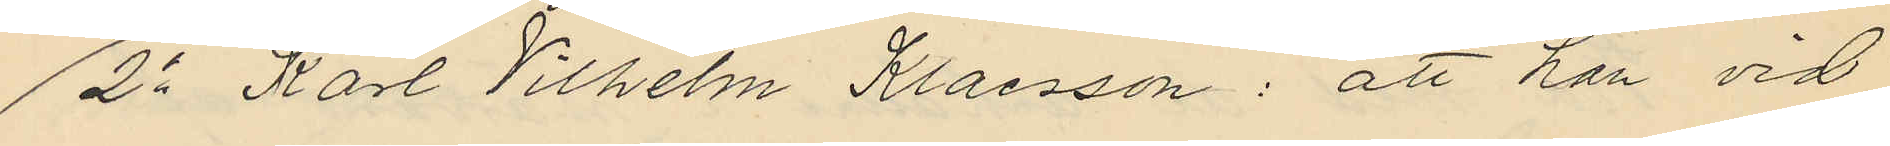2o Karl Vilhelm Klaesson: att han vid
